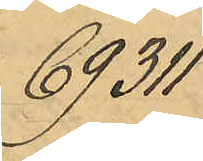69311
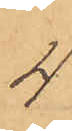4
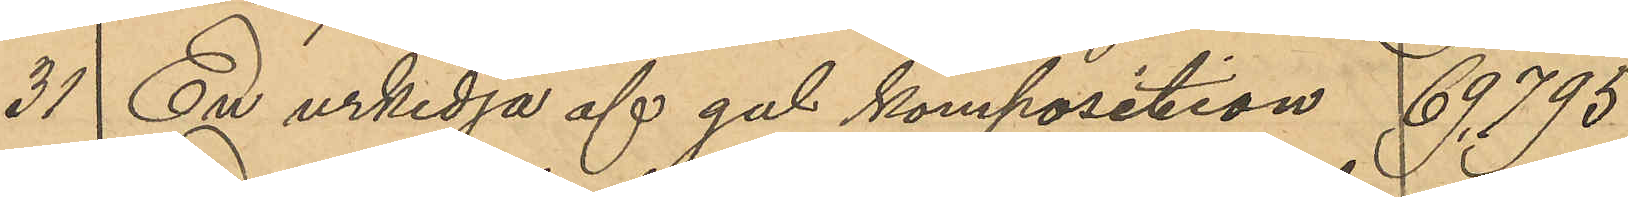31 En urkedja af gul komposition 69795
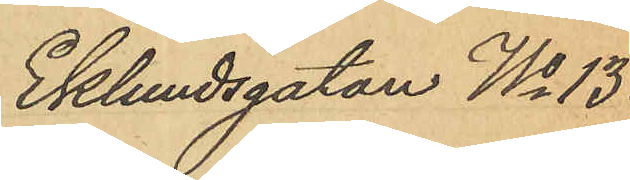Eklundsgatan No 13
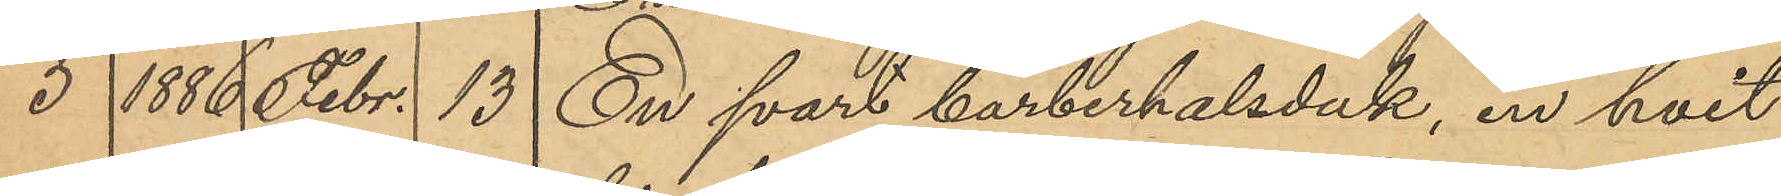5 1886 Febr. 13 En svart barberhalsduk, en hvit
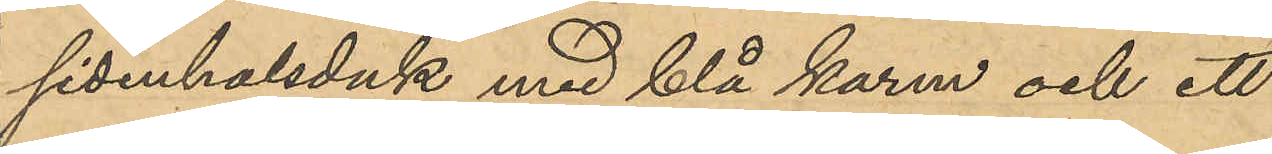sidenhalsduk med blå karm och ett
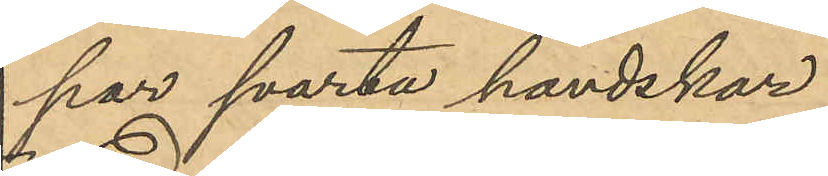par svarta handskar
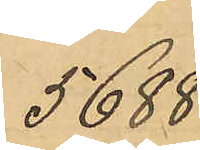5688
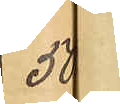50
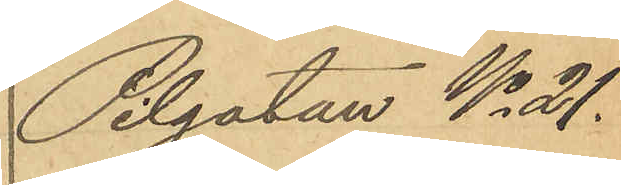Pilgatan No 21.
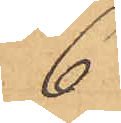6
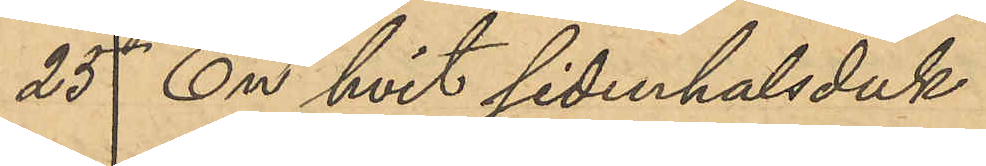25 En hvit sidenhalsduk
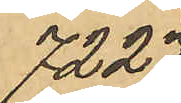7227
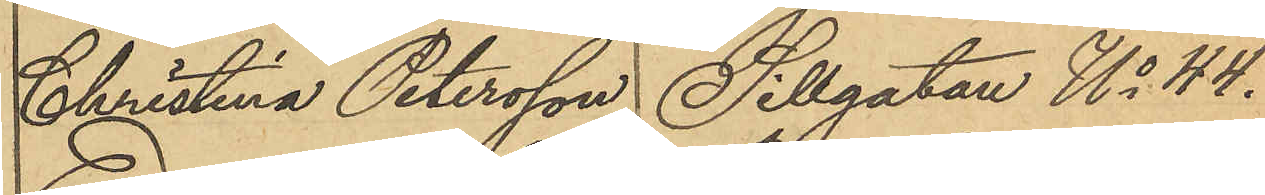Christina Petersson Sillgatan No 44.
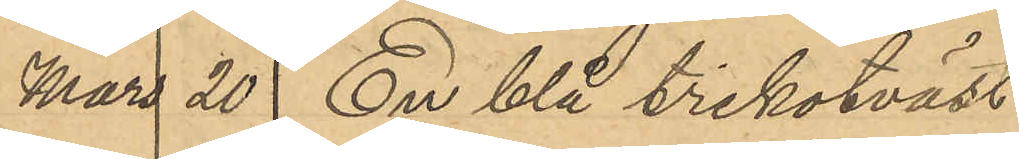Mars 20 En blå trikotväst
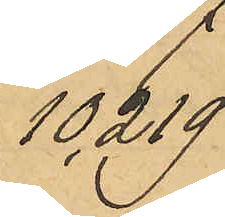10219
